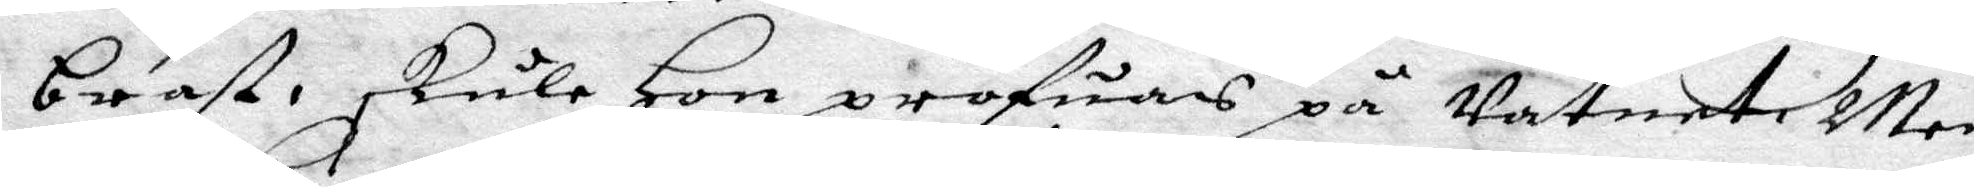brast skulle Hon pröfuas på vatnet, Men
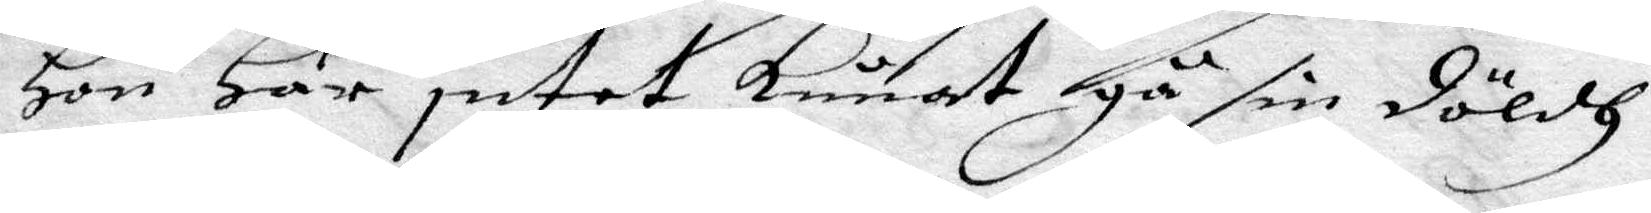Hon Har intet kunnat gå sin döldh,
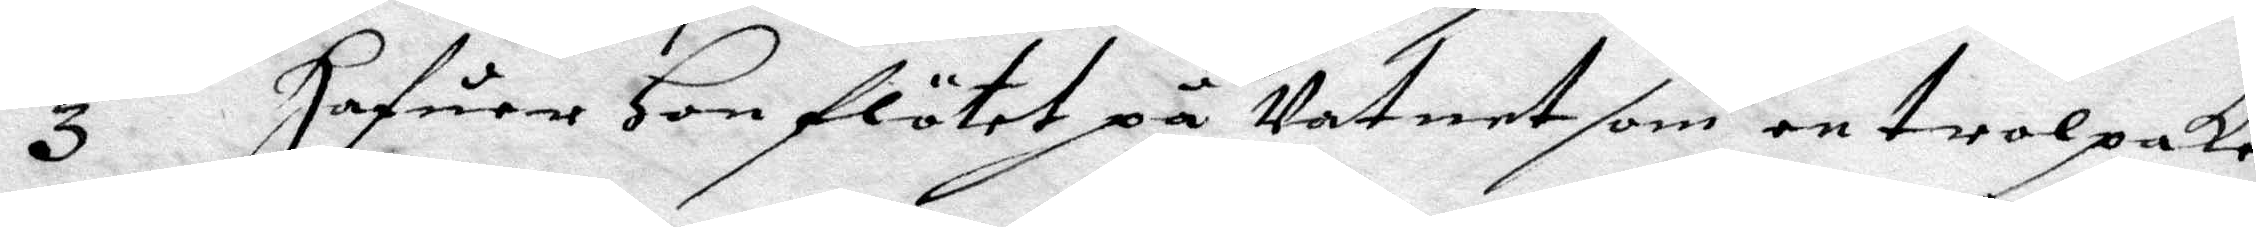3 hafuer Hon flötet på Vatnet som en trolpake
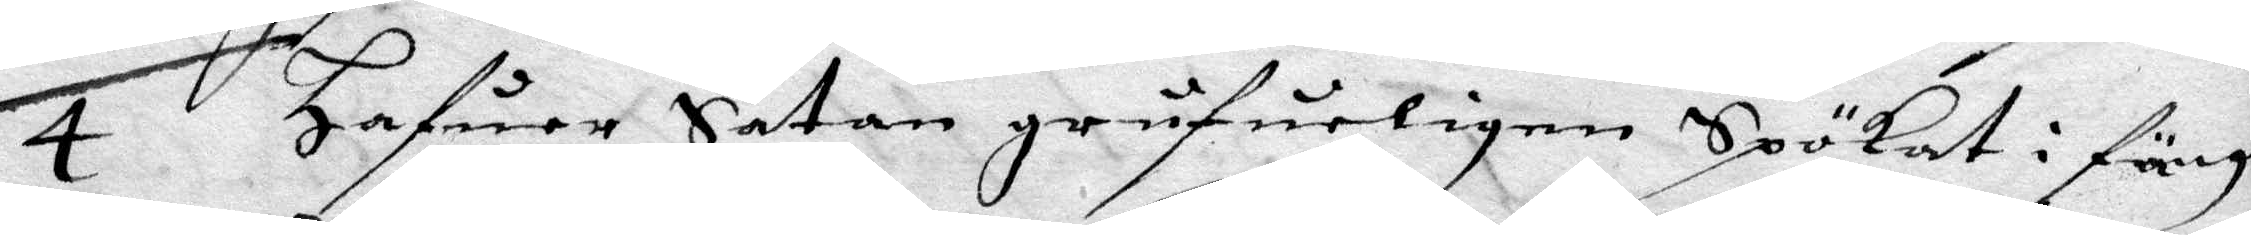4 hafuer Satan grufueligen Spökat i fängel¬
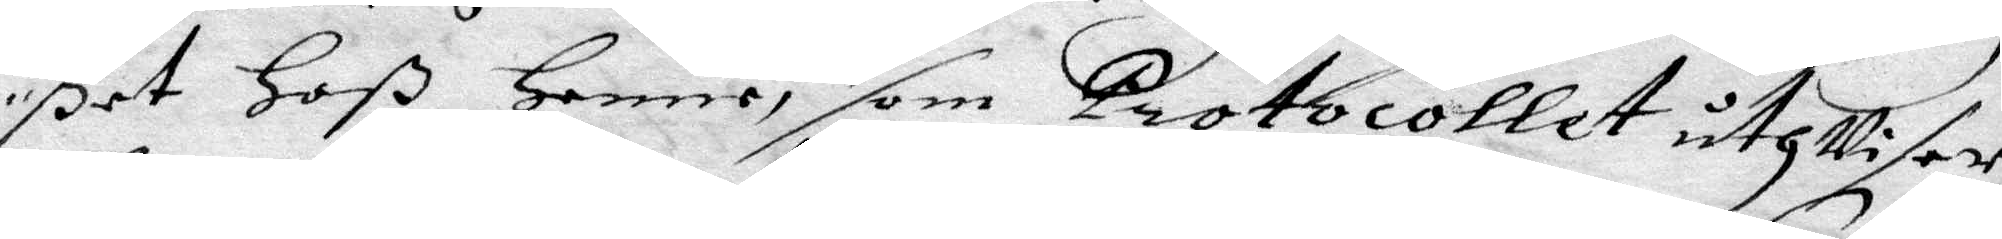ßet Hoß Henne, som Protocollet uthViser,
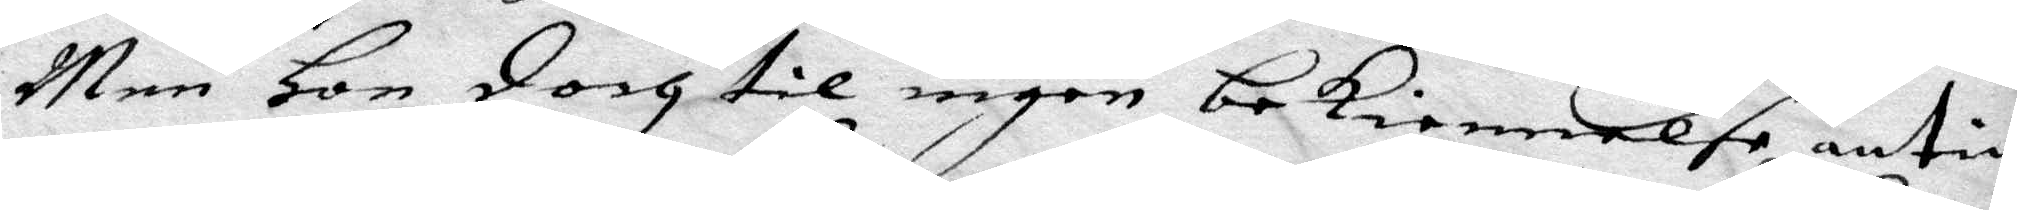Men Hon doch til ingen bekiennelse antin¬
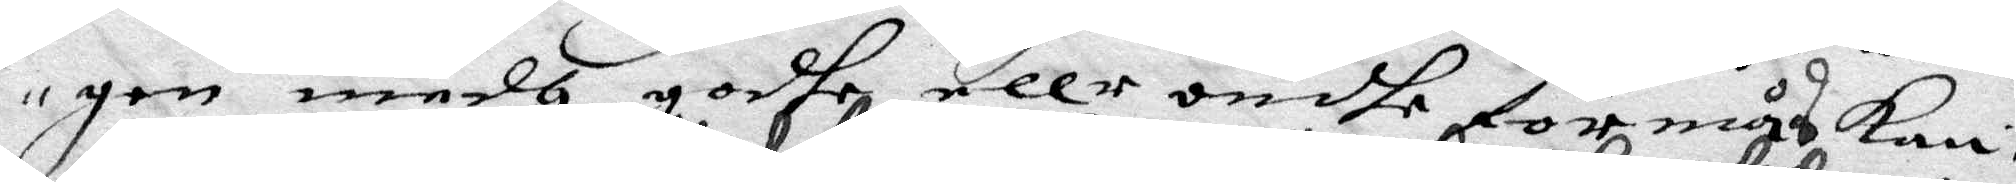gen medh godhe eller ondhe förmås kan,
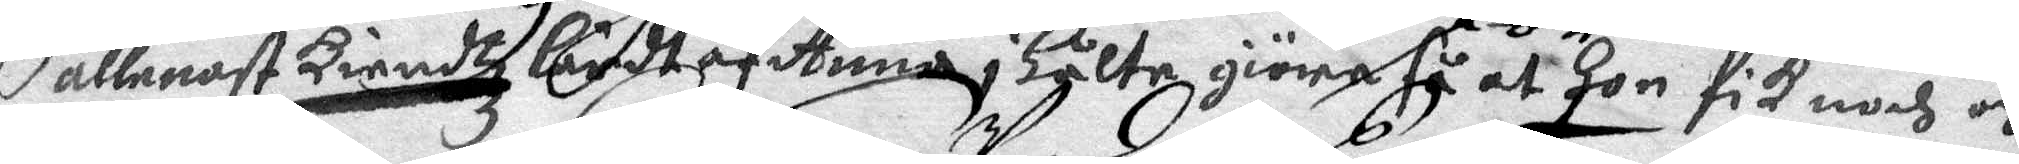allenast kiendtz Lärdt af Anna i Hålte giöra så at Hon fik nogh och
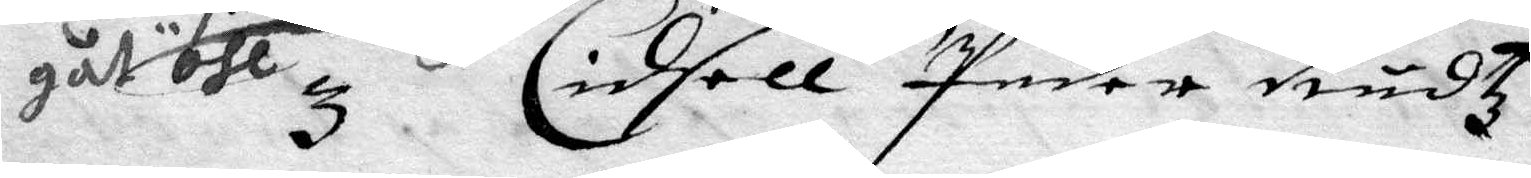gåt öhl, 3 Cidsell Peder Rudz
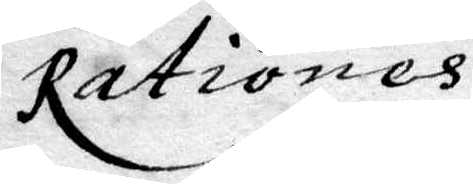rationes
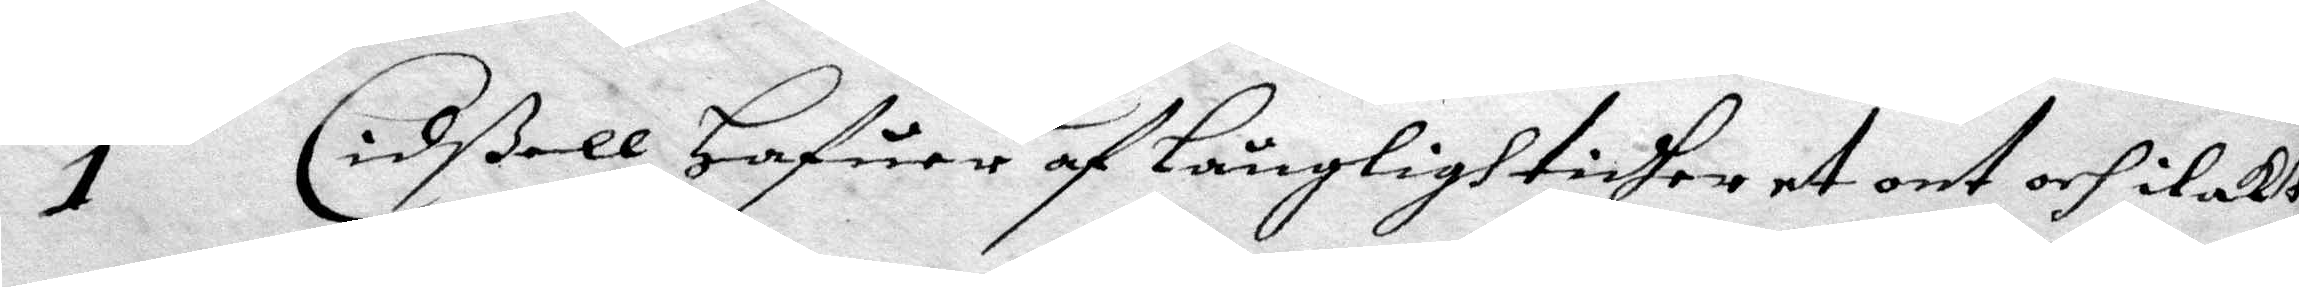1 Cidßell Hafuer af Långlightidher et ont och ilakt
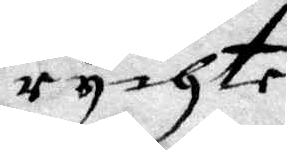rychte
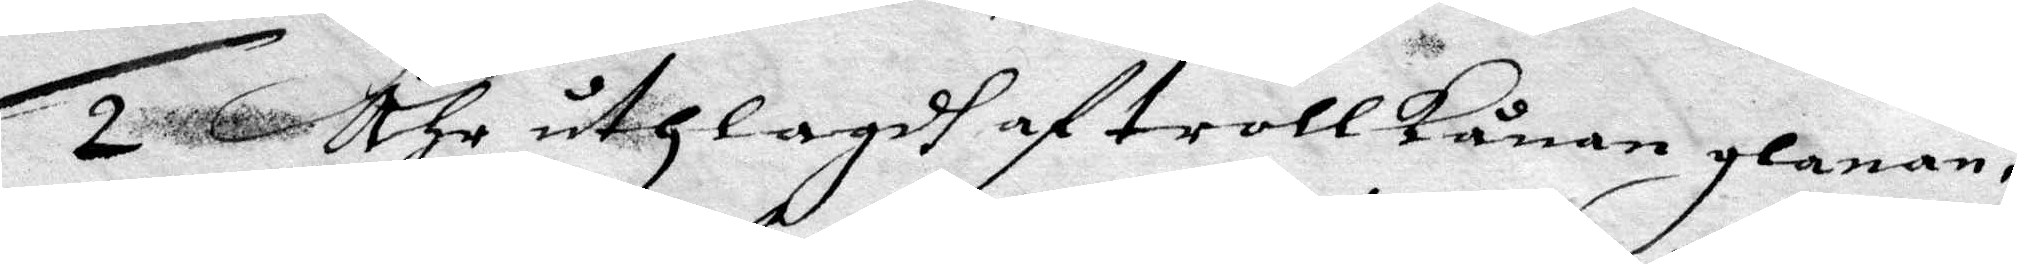2 Ähr uthlagdh af trollkånan glanan,
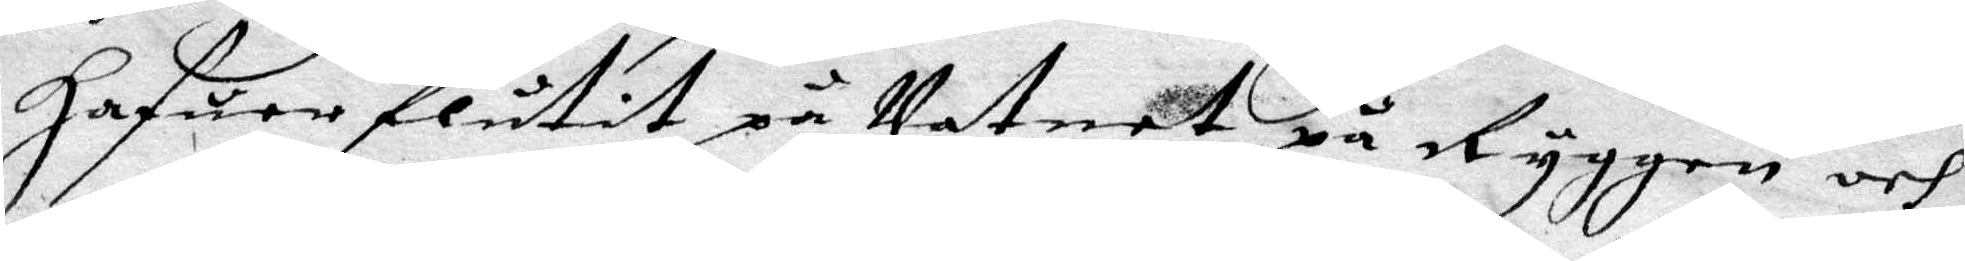3 Hafuer flutit på Vatnet på Ryggen och
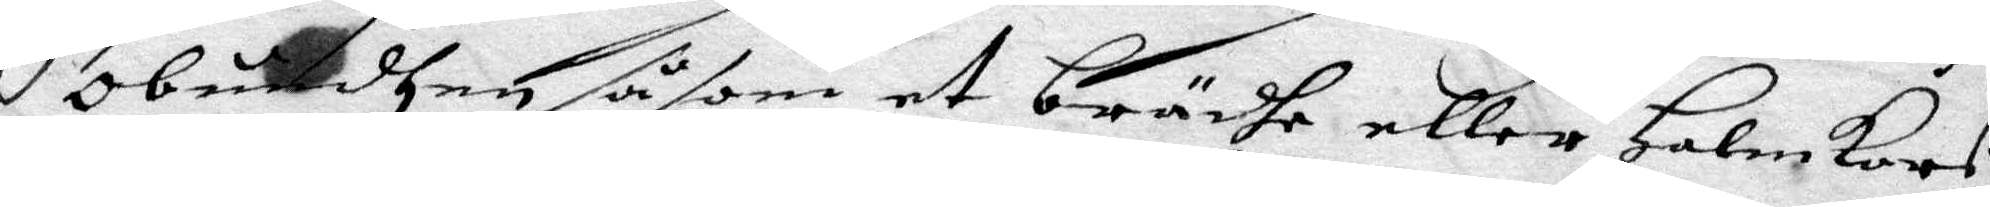obundhen såsom et brädhe eller Halmkors,
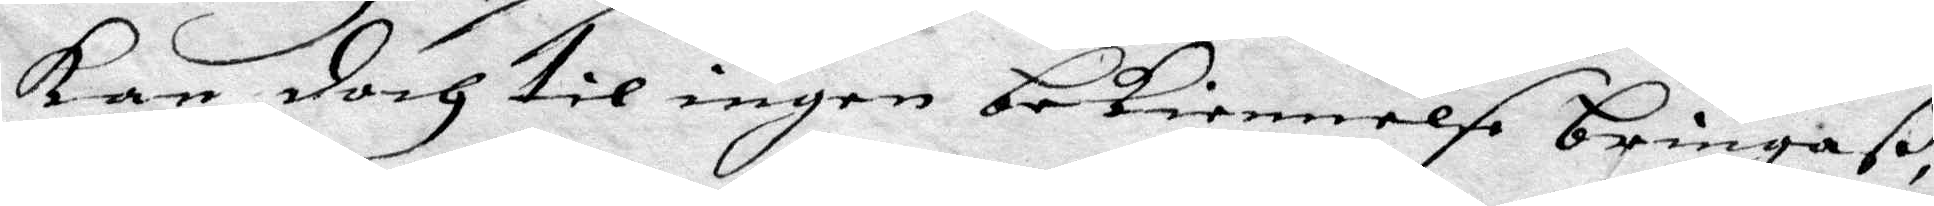Kan doch til ingen bekiennelse bringaß,
